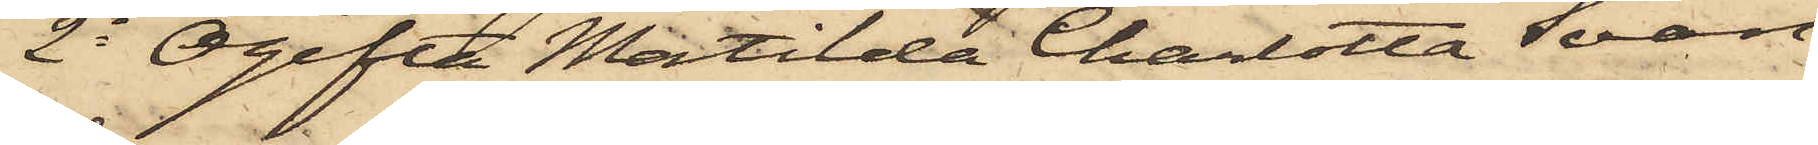2o Ogifta Matilda Charlotta Svan,
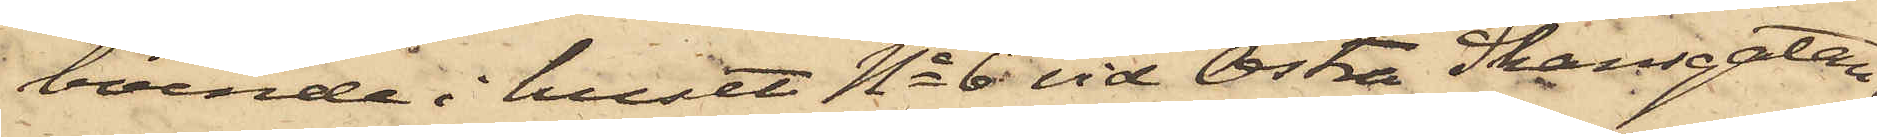boende i huset No 6 vid Östra Skansgatan,
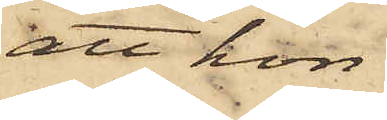att hon
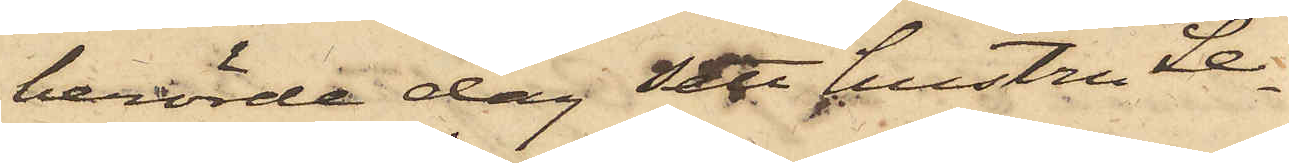berörde dag sett hustru Le¬
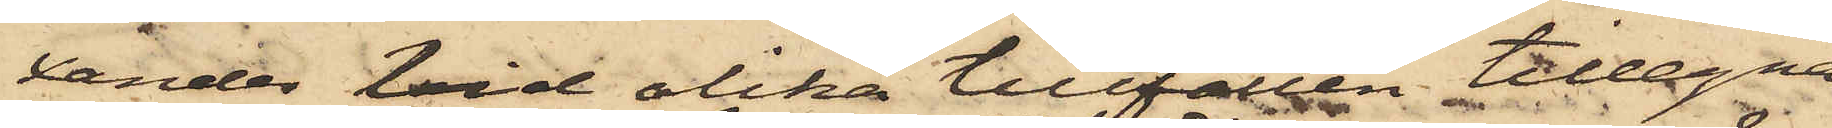xander vid olika tillfällen tillegna
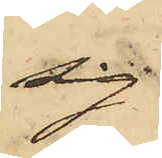sig
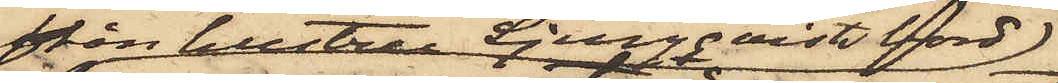från hustru Ljungqvists bord
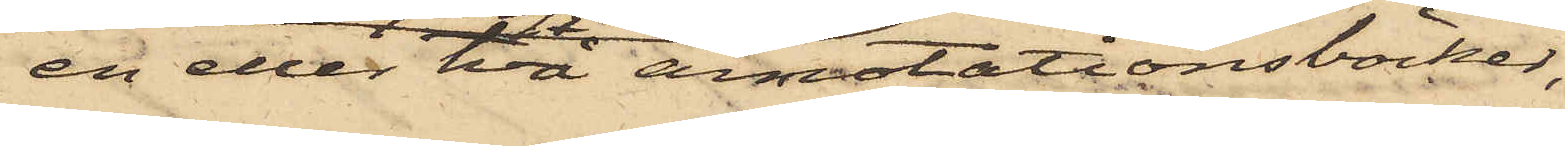en eller två annotationsböcker,
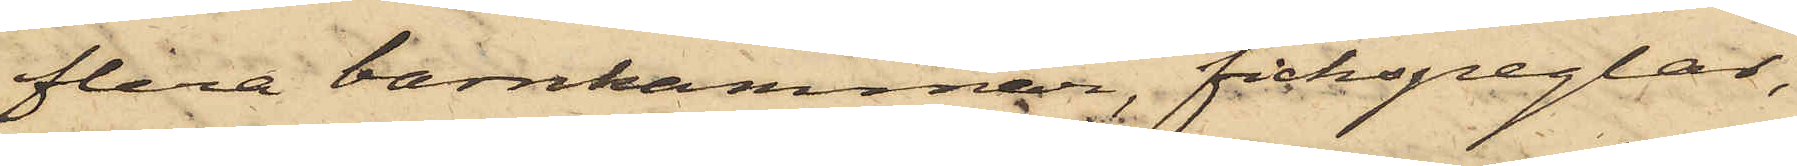flera barnkammar, fickspeglar,
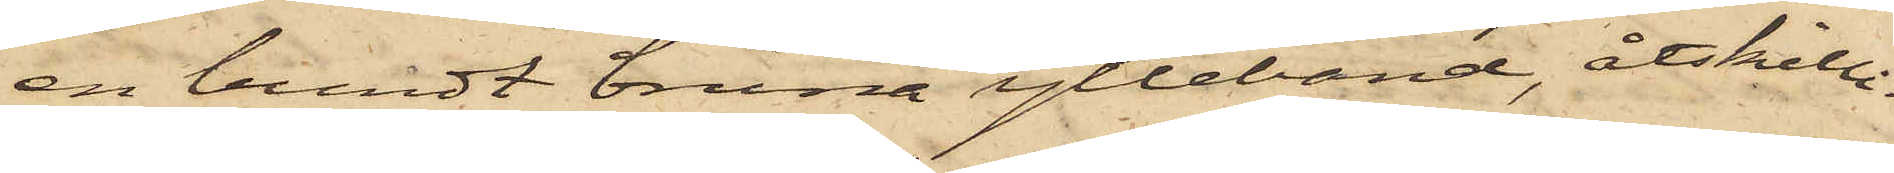en bundt bruna ylleband, åtskilli¬
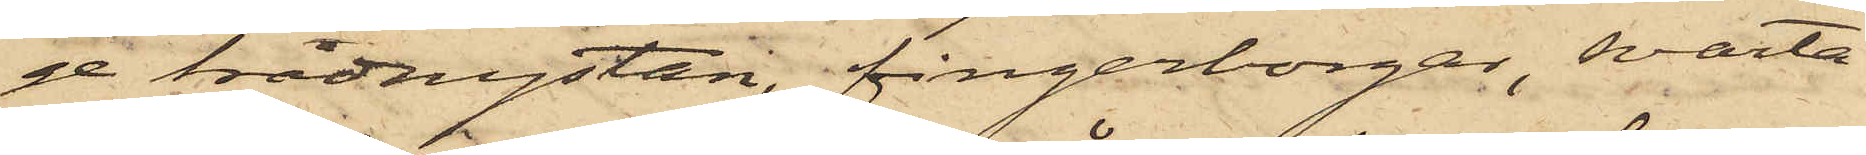ge trådnystan, fingerborgar, svarta
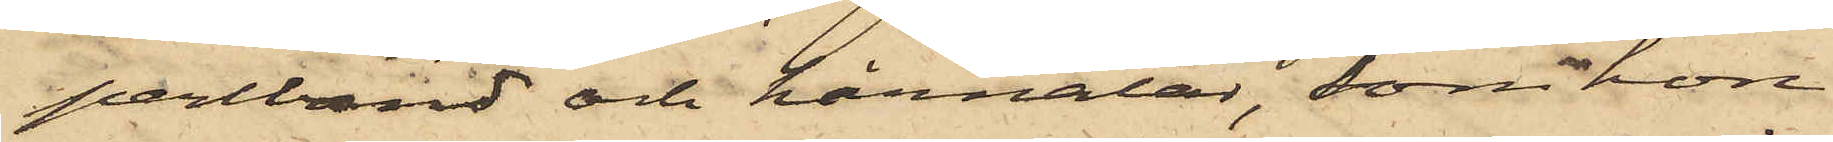perlband och hårnålar, som hon
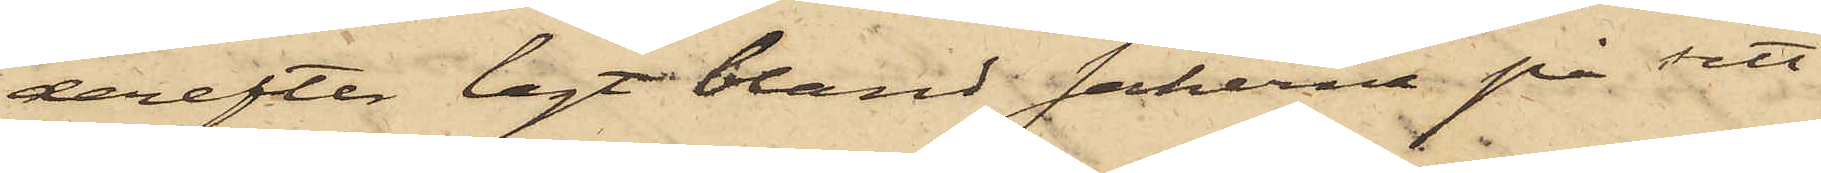derefter lagt bland sakerna på sitt
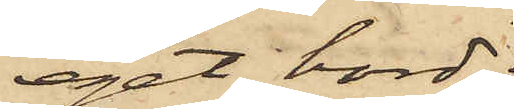eget bord;
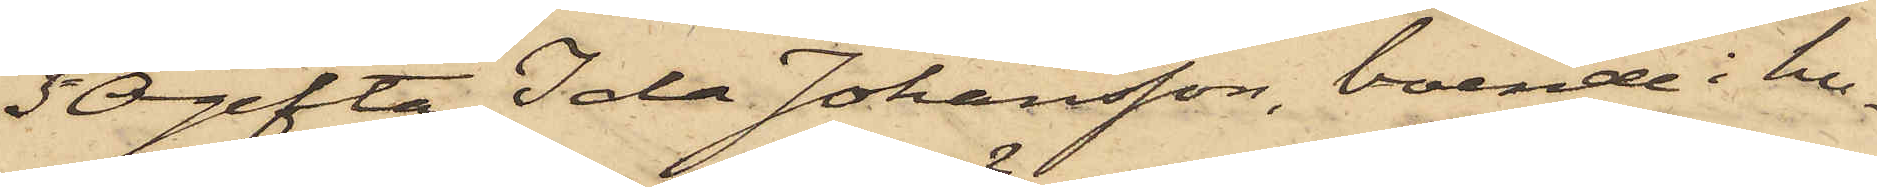3o Ogifta Ida Johansson, boende i hu¬
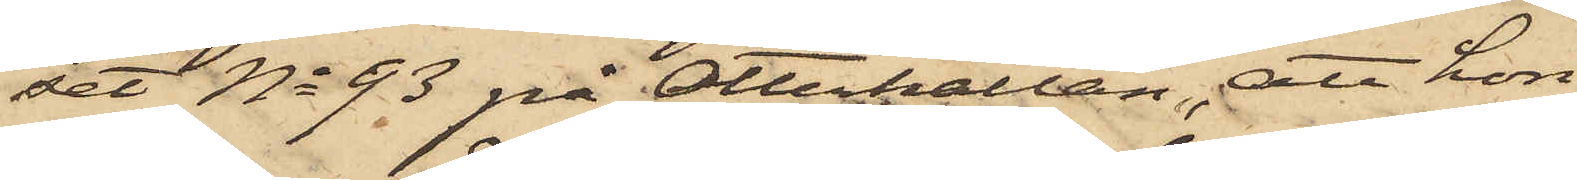set No 93 på Otterhällan, att hon
